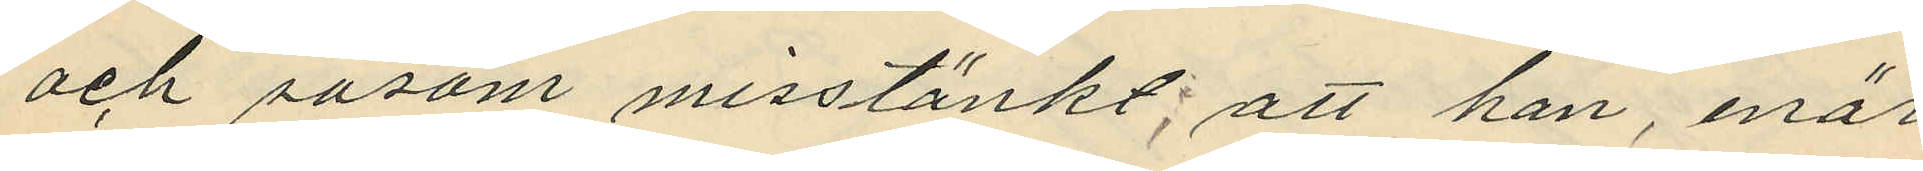och såsom misstänkt; att han, enär
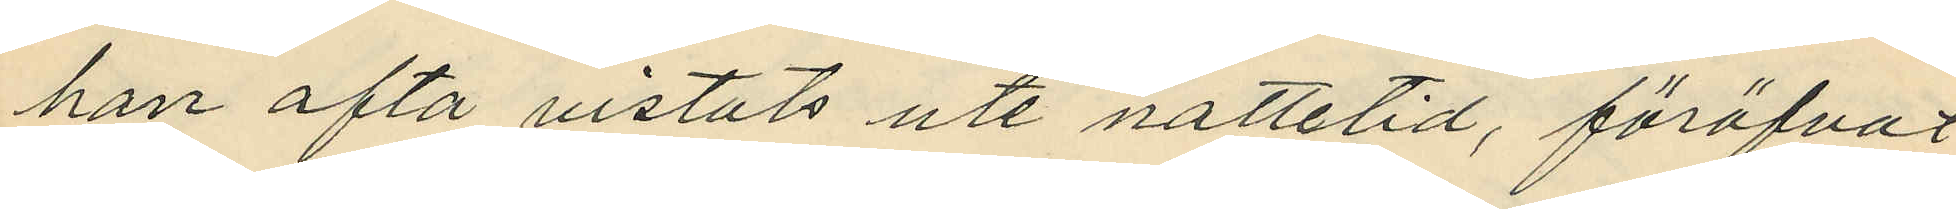han ofta vistats ute nattetid, föröfvat
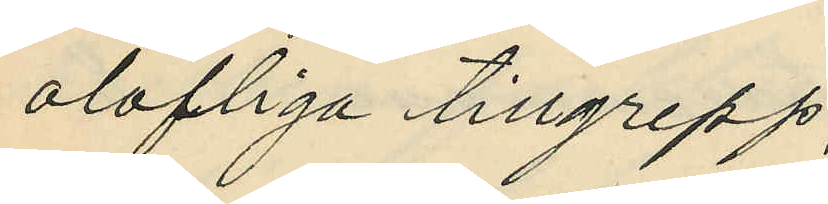olofliga tillgrepp;
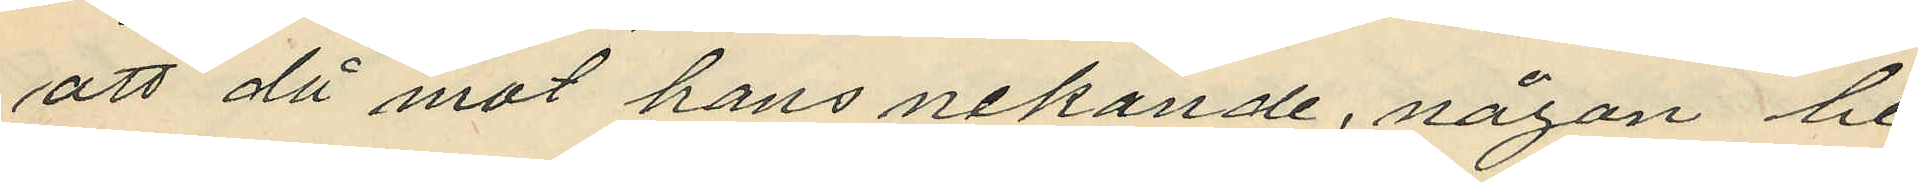att då mot hans nekande, någon be¬
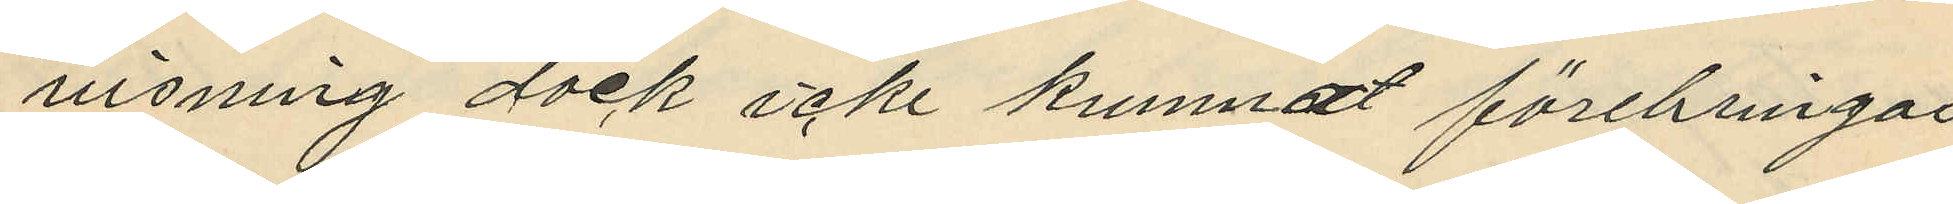visning dock icke kunnat förebringas
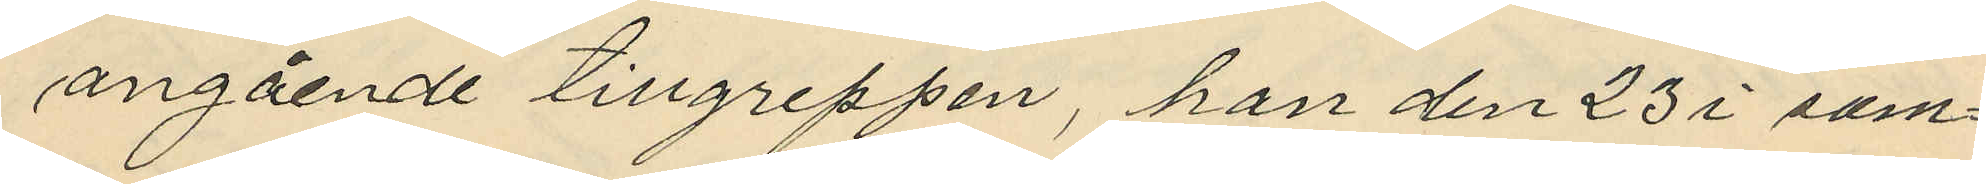angående tillgreppen, han den 23 i sam¬
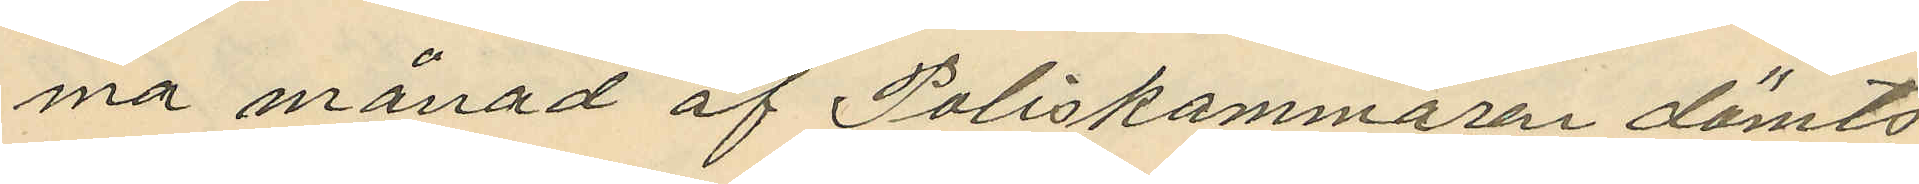ma månad af Poliskammaren dömts
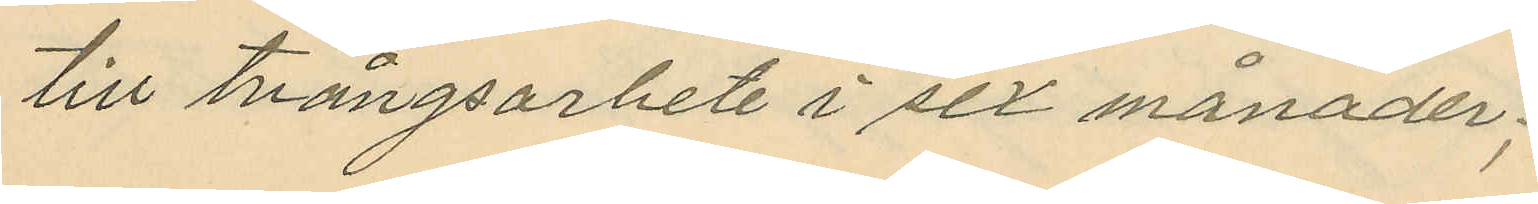till tvångsarbete i sex månader;
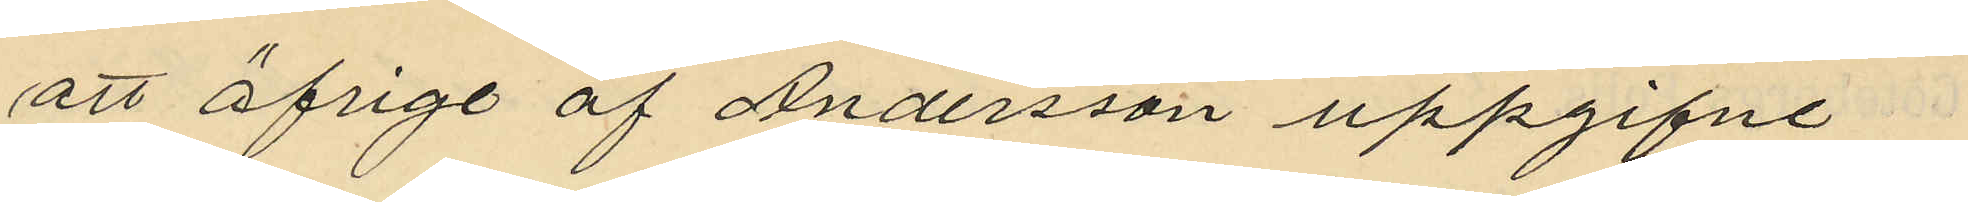att öfrige af Andersson uppgifne
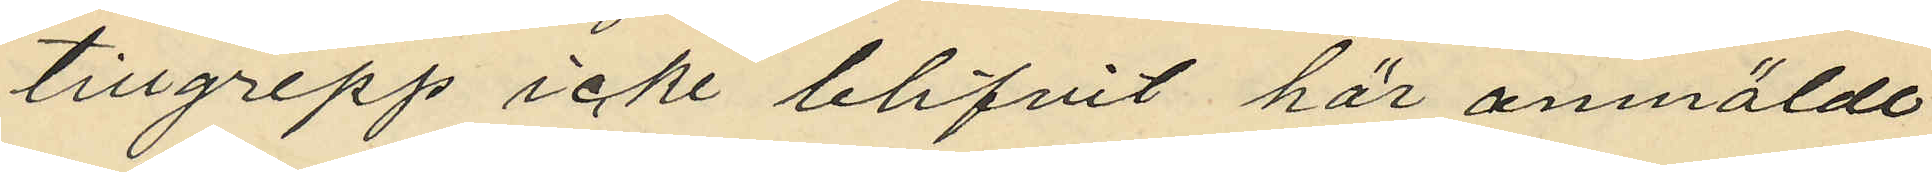tillgrepp icke blifvit här anmälde
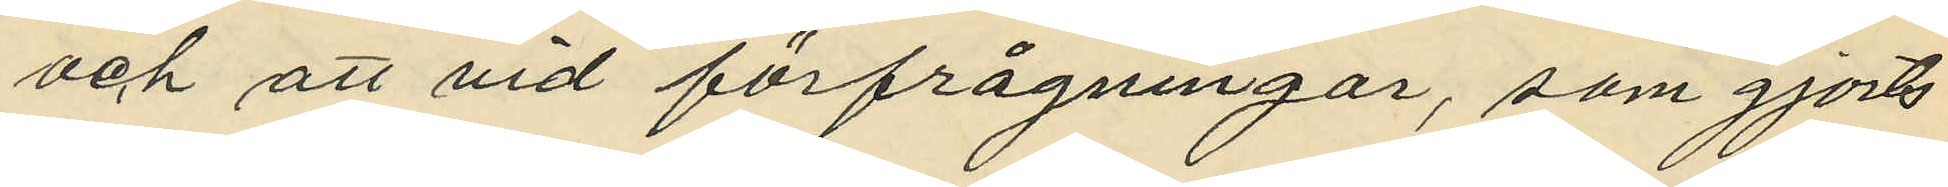och att vid förfrågningar, som gjorts
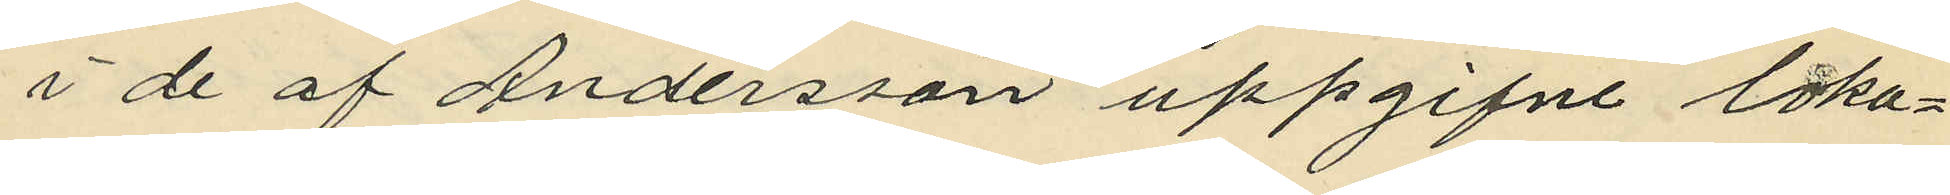i de af Andersson uppgifne loka¬
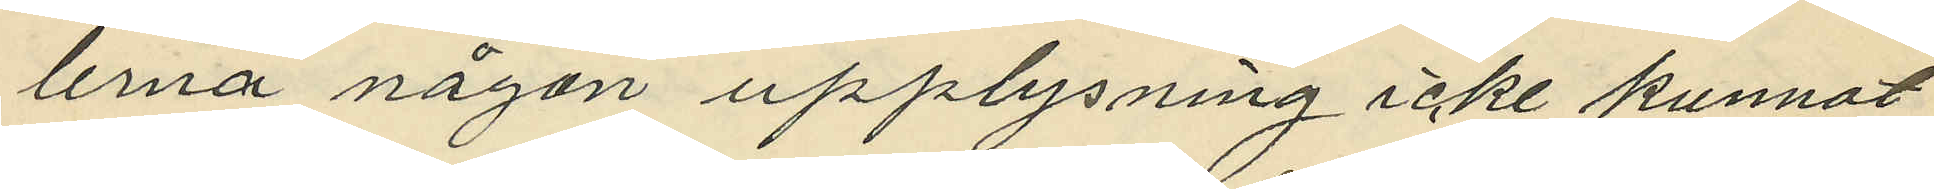lerna någon upplysning icke kunnat
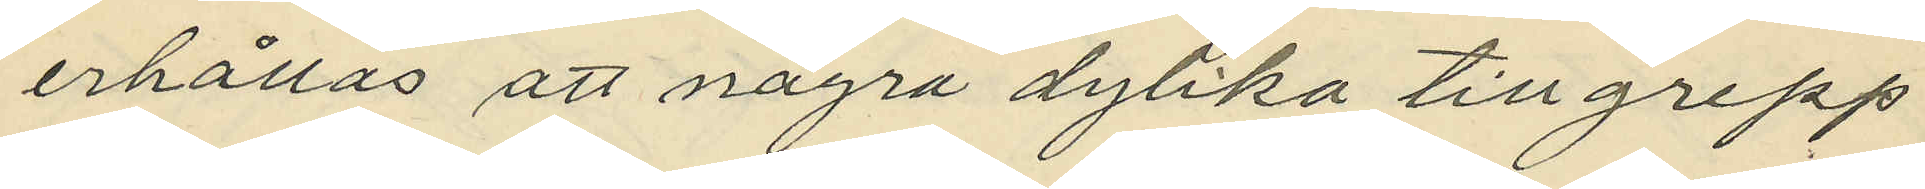erhållas att några dylika tillgrepp
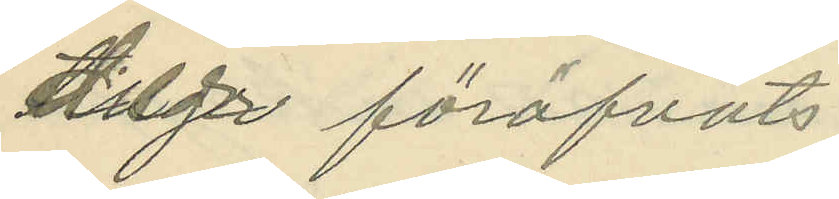föröfvats.
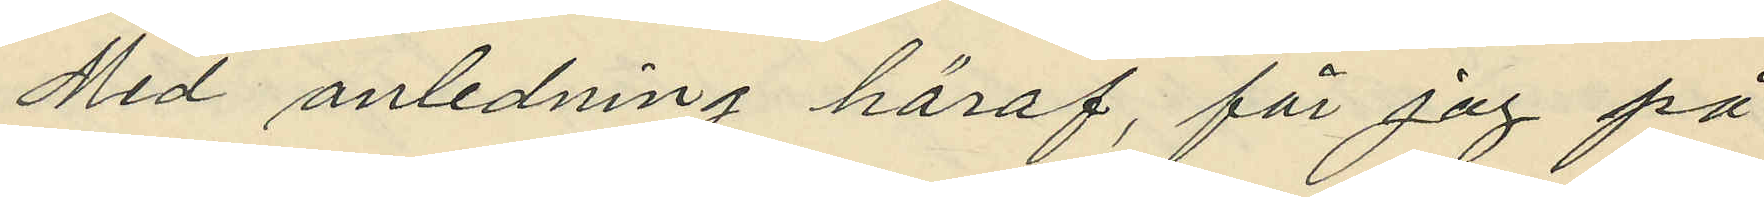Med anledning häraf, får jag på
